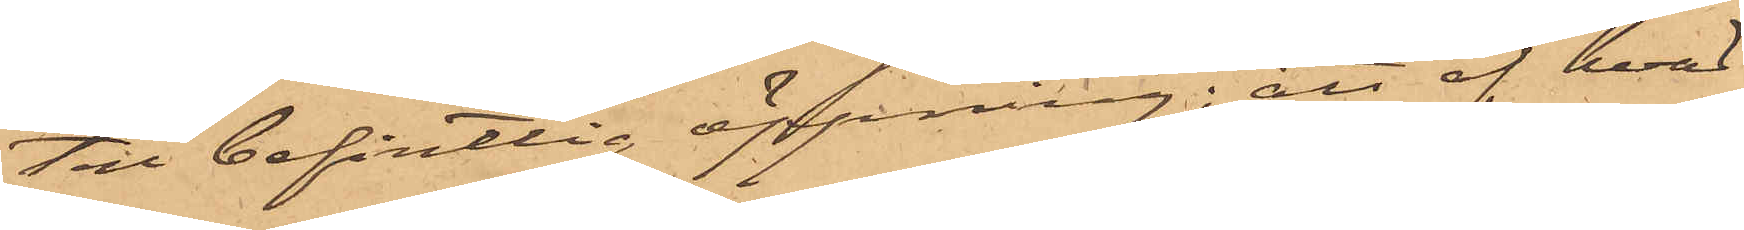ten befintlig öppning; att af hvad
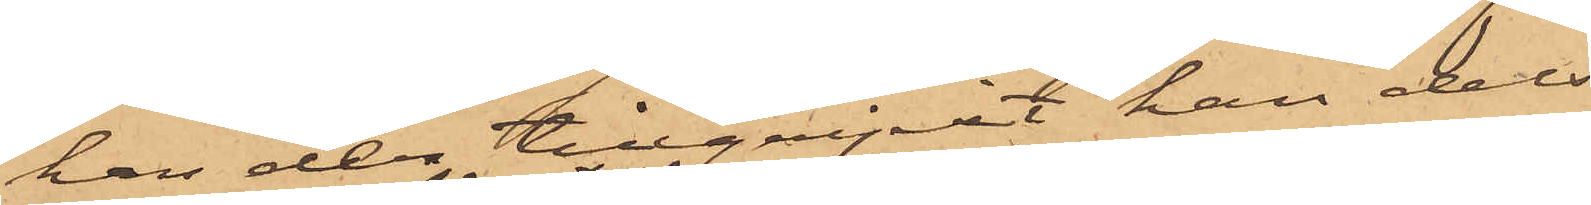han der tillgripit han dels
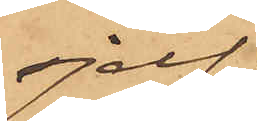sjelf
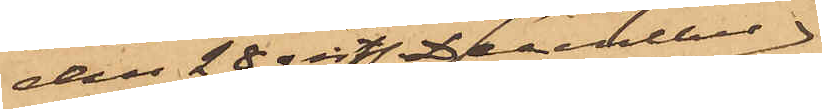den 28 sistl. December
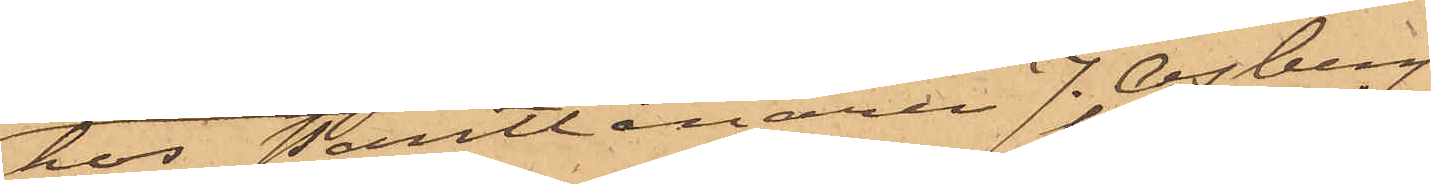hos Pantlånaren J. Osberg
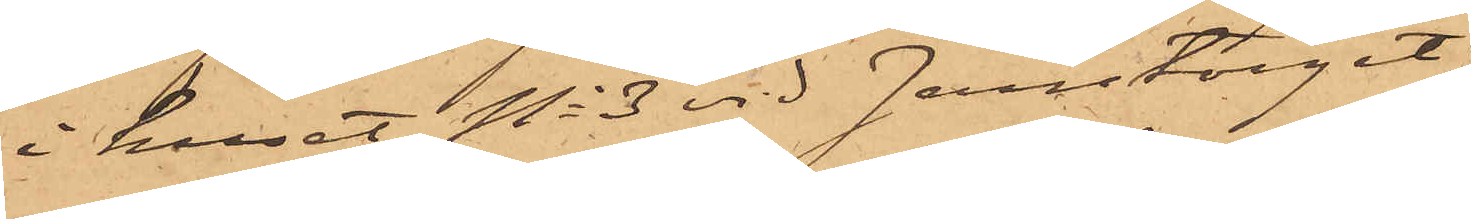i huset No 3 vid Jerntorget
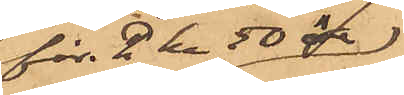för 2 kr 50 öre
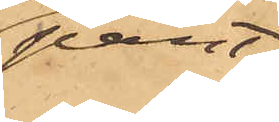pant¬
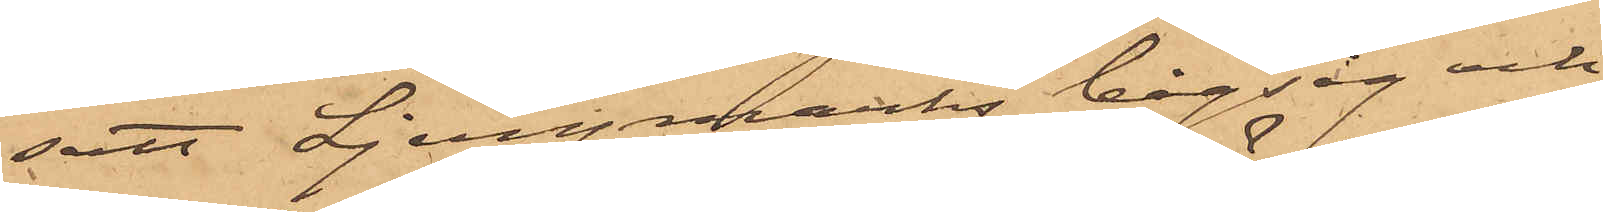satt Ljungmarks bågsåg och
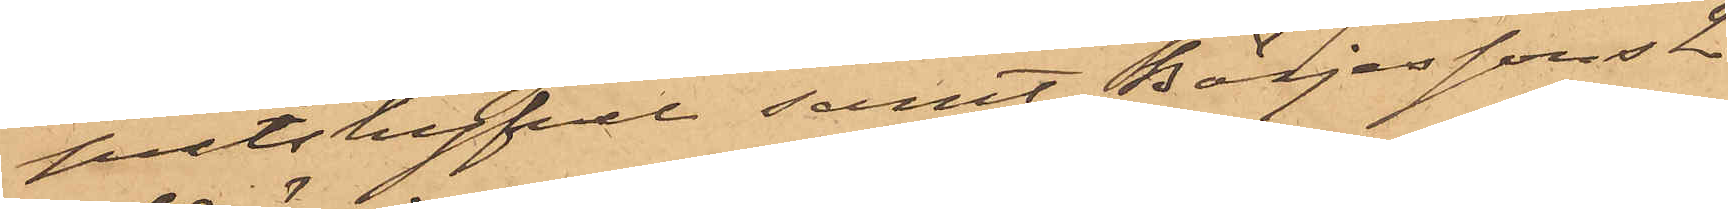putshyfvel samt Börjessons 2
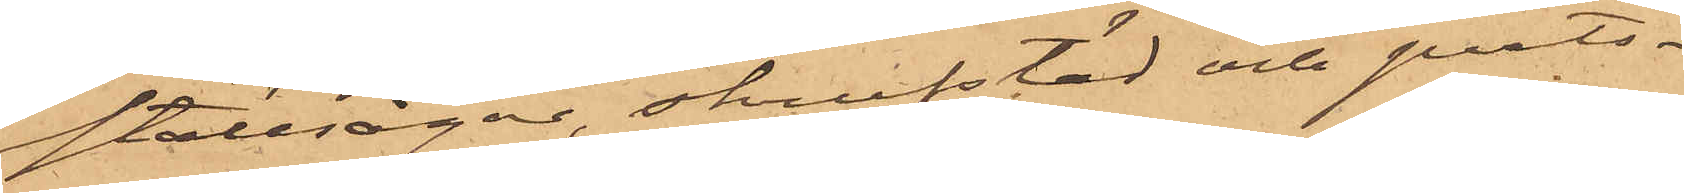ställsågar, skrufstäd och puts¬
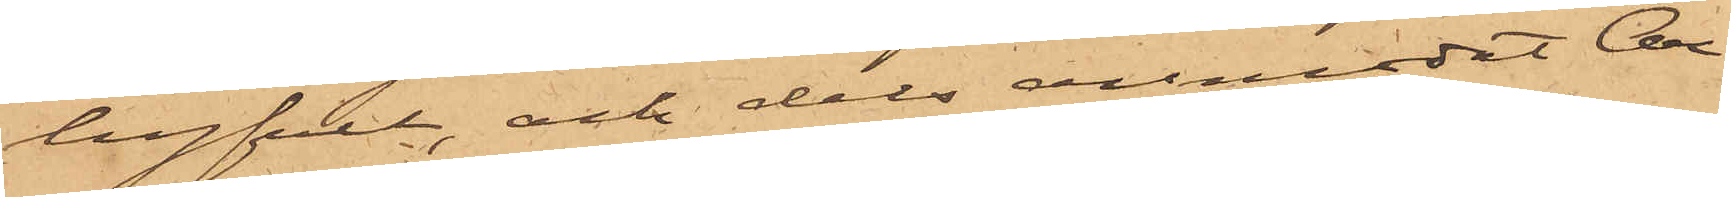hyfvel, ock dels anmodat An¬
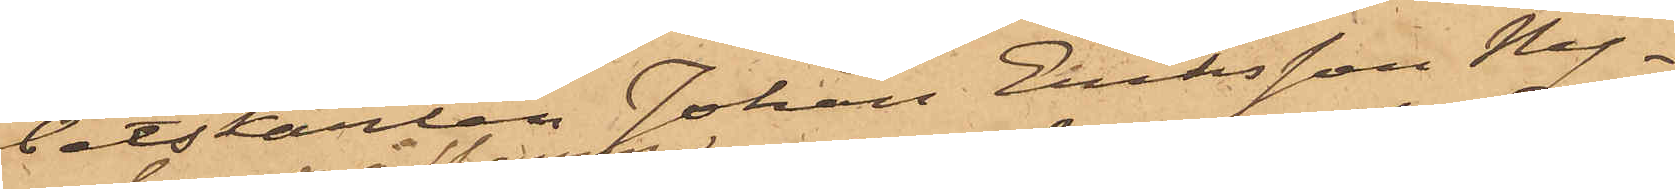betskarlen Johan Eriksson Ny¬
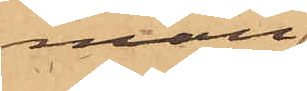man
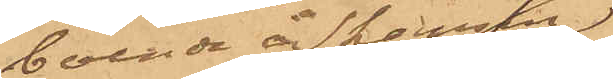boende å Skansen
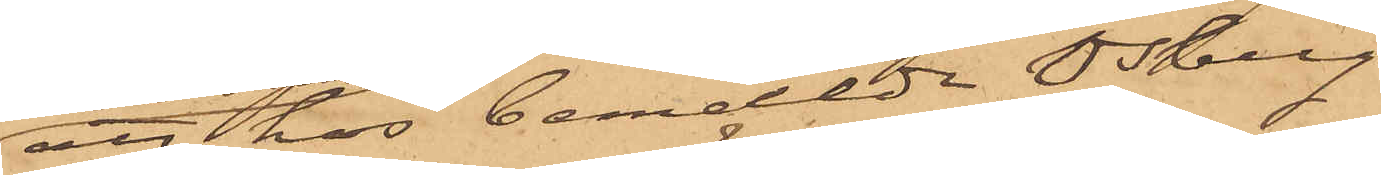att hos bemälde Osberg
